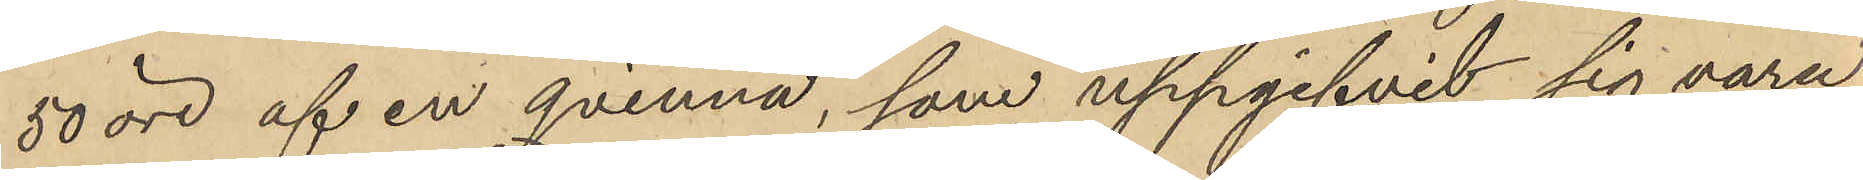50 öre af en qvinna, som uppgifvit sig vara
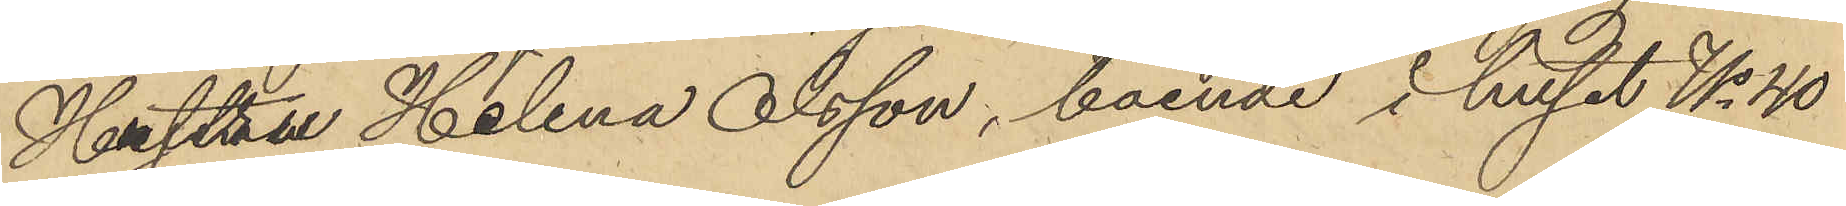Hustru Helena Olsson, boende i huset No 40
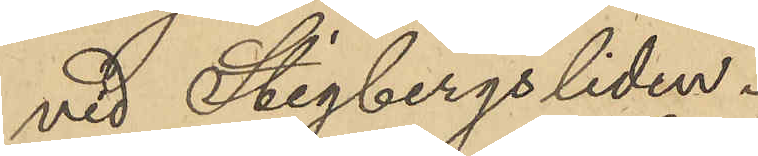vid Stigbergsliden.
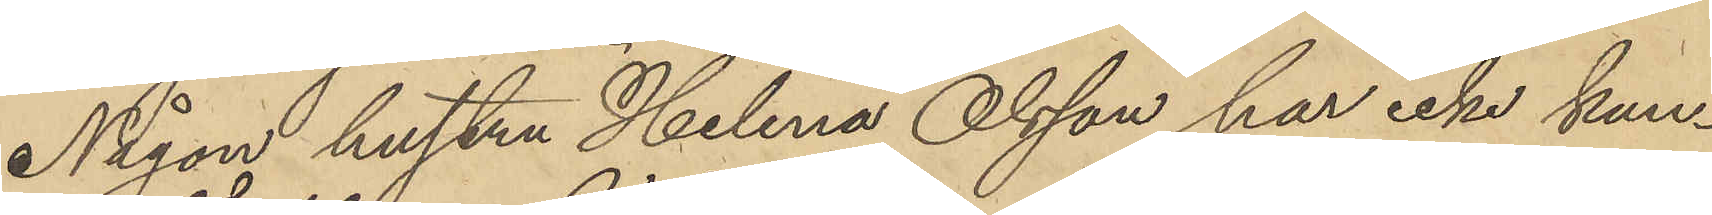Någon hustru Helena Olsson har icke kun¬
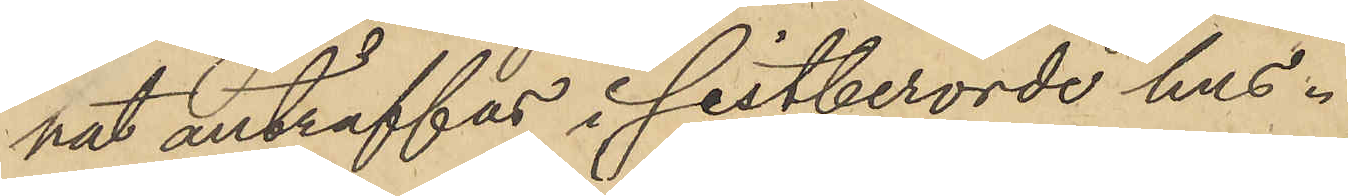nat anträffas i sistberörde hus.
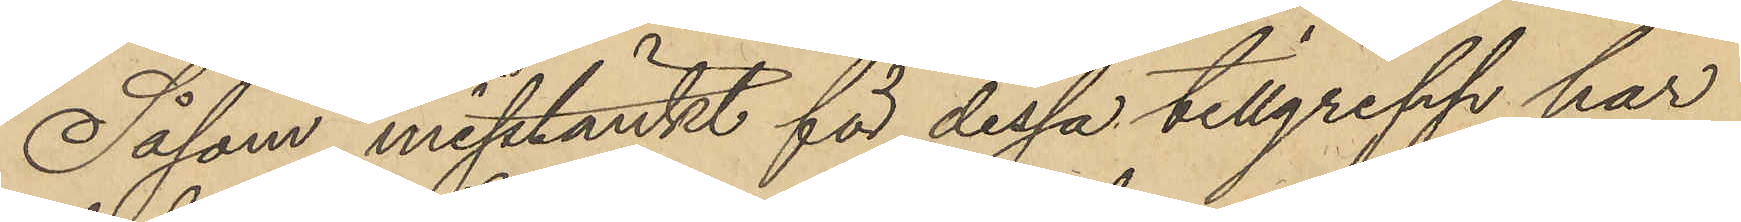Såsom misstänkt för dessa tillgrepp har
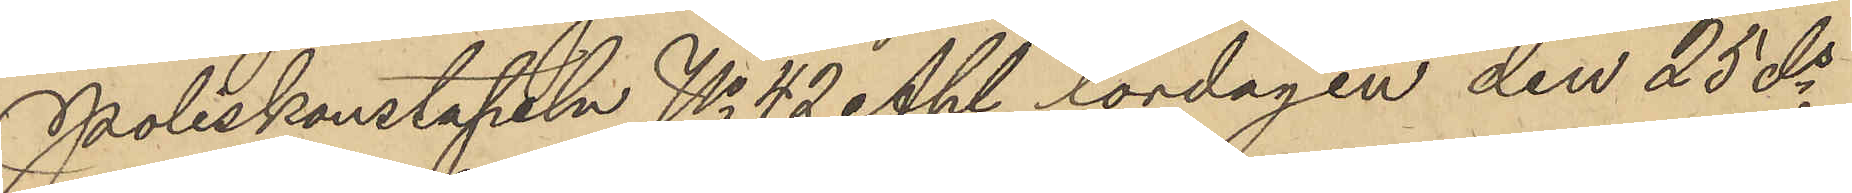Poliskonstapeln No 42 Ahl lordagen den 25 ds
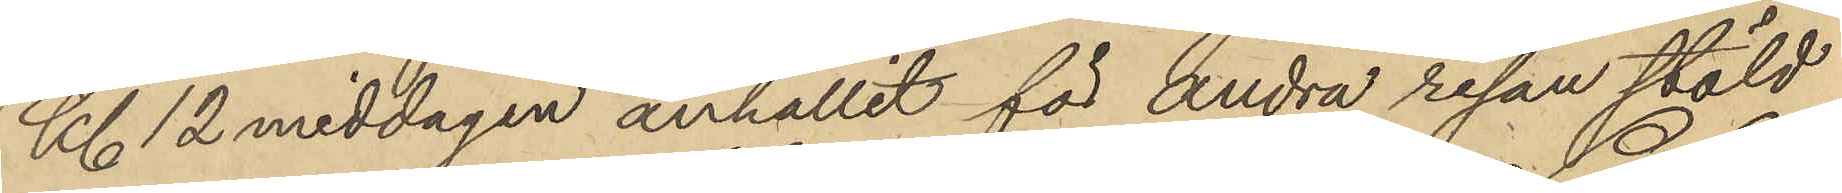Kl. 12 middagen anhållit för andra resan stöld
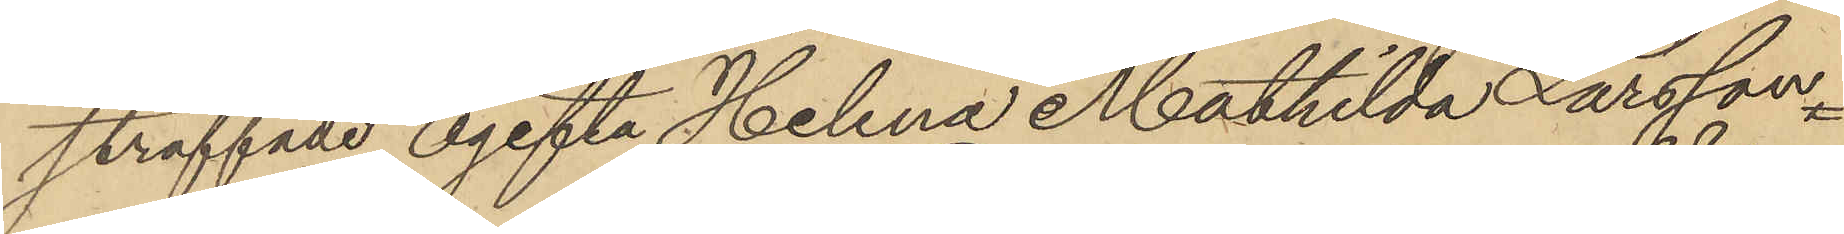straffade ogefta Helena Mathilda Larsson
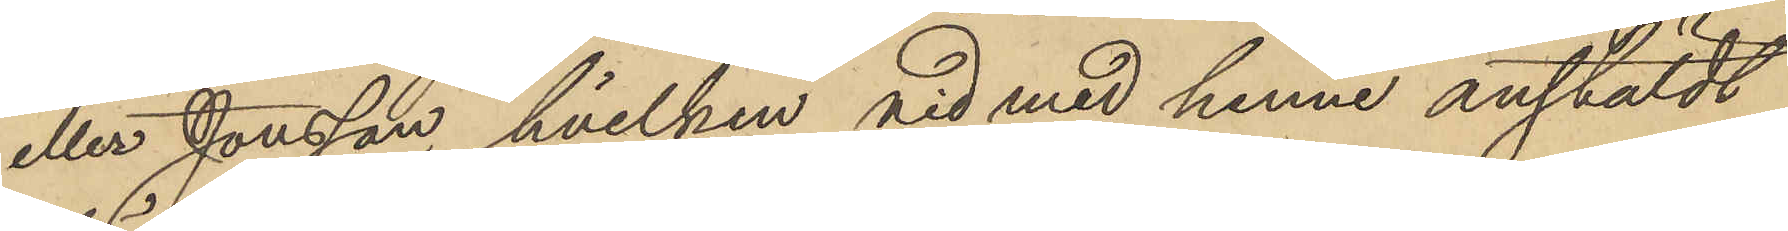eller Jonsson, hvilken vid med henne anstäldt
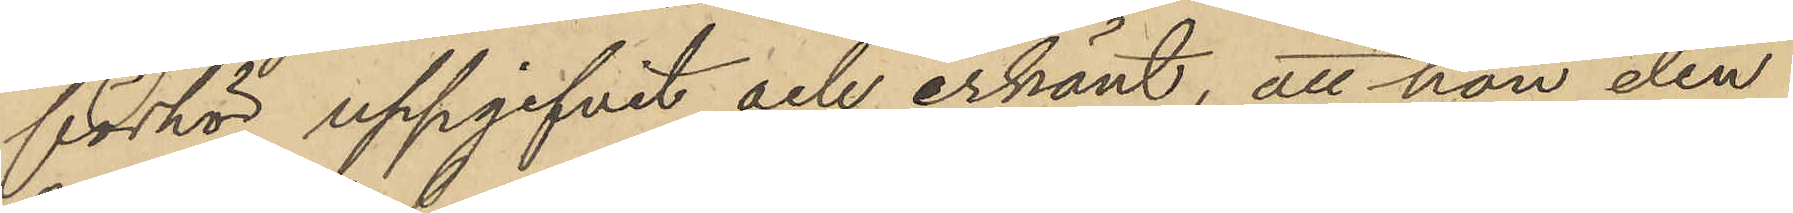förhör uppgifvit och erkänt, att hon den
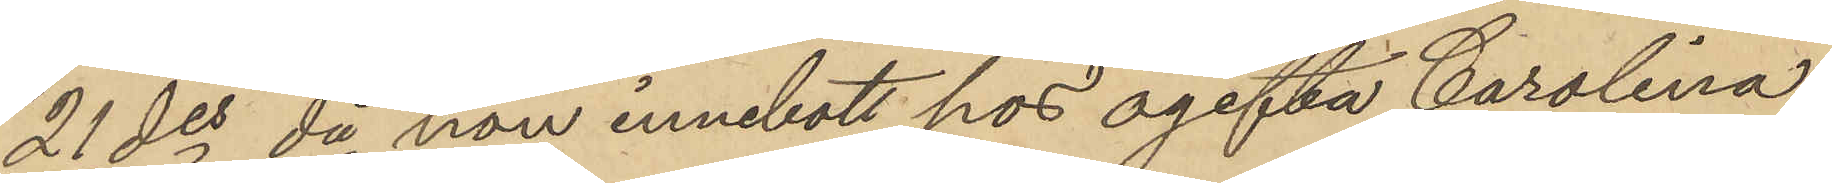21 des då hon innebott hos ogifta Carolina
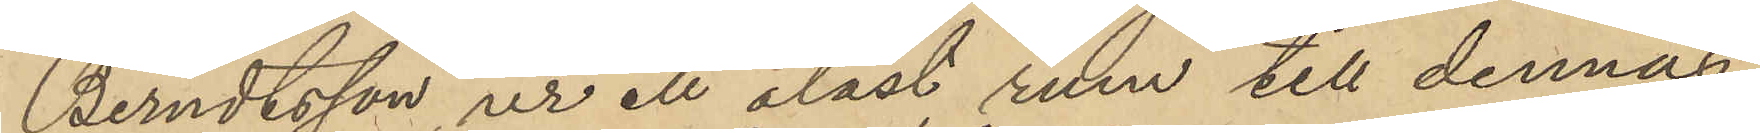Berndtsson, ur ett olåst rum till dennas
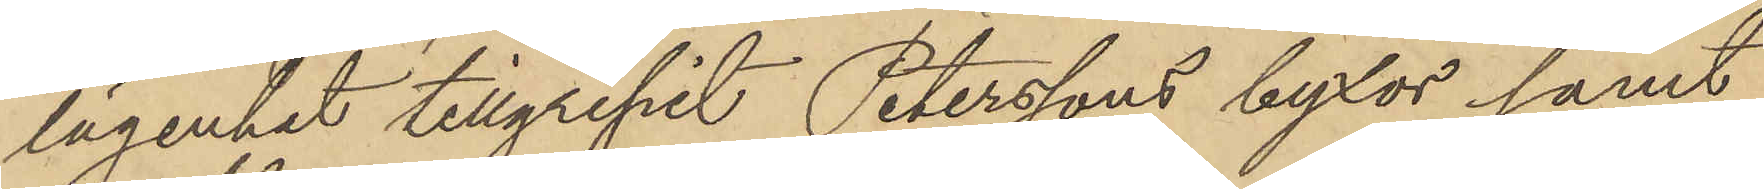lägenhet tillgripit Peterssons byxor samt
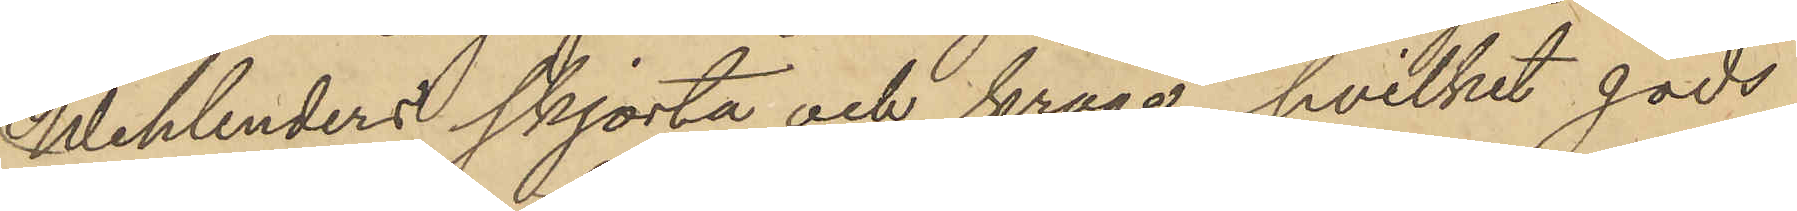Wehlenders skjorta och krage, hvilket gods
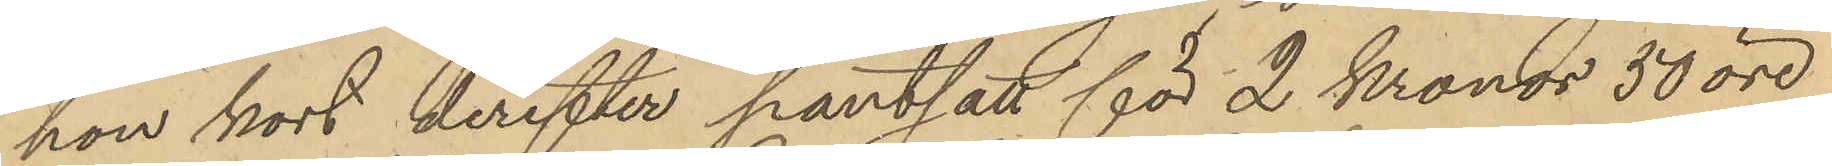hon kort derefter pantsatt för 2 Kronor 50 öre
